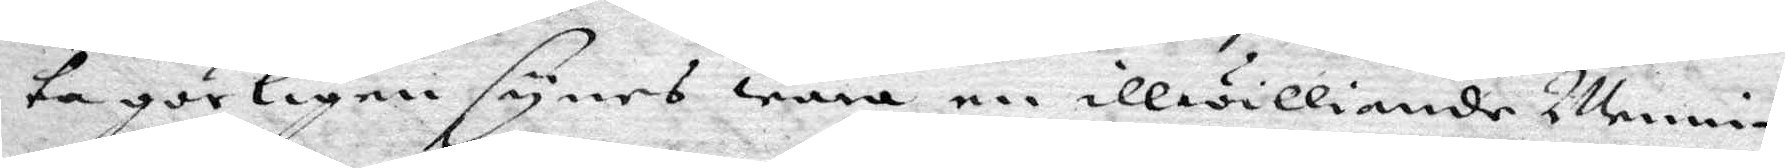ta görligen sunes wara en illwilliande Menni¬
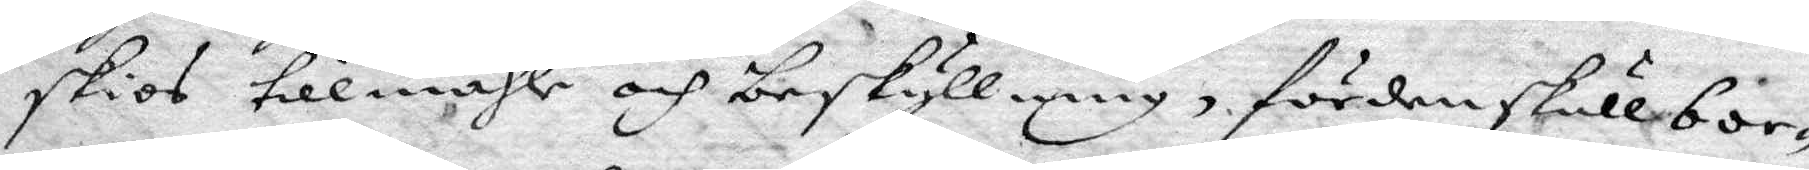skios tillmähle och beskyllning, fördenskull bor¬
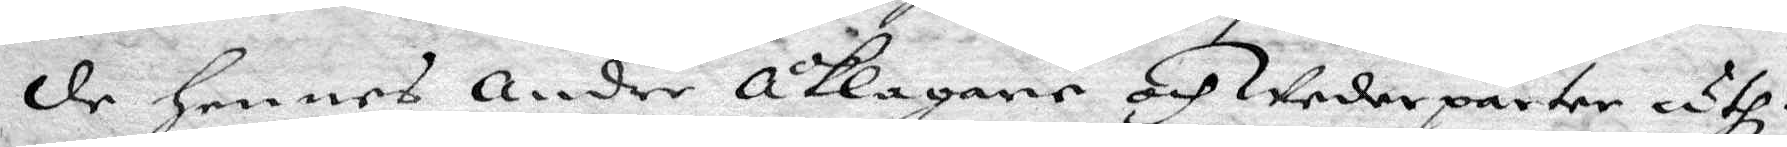de Hennes Andre Åklagare och Wederparter uthi
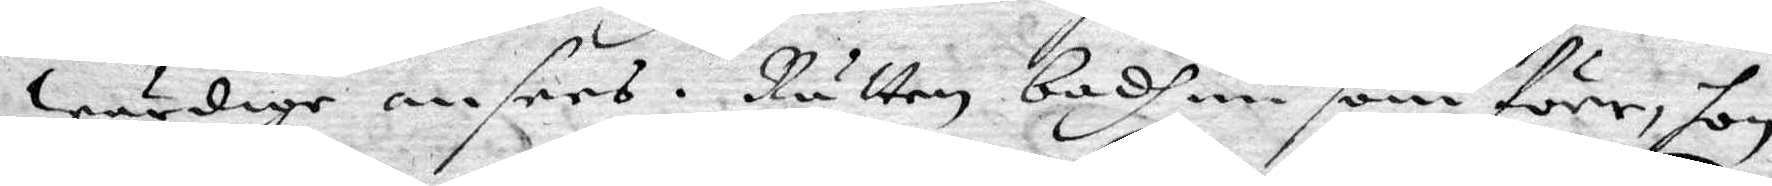Wärdige anses. Rätten badh nu som förr, hon
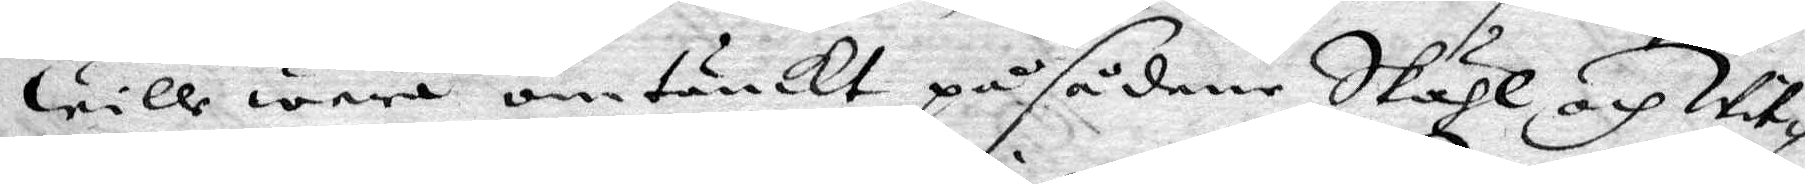Wille wara omtänckt på sådane Skiähl och Wit¬
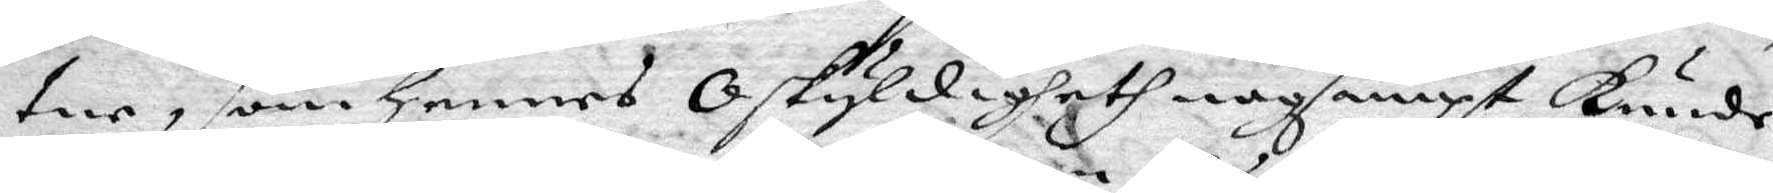tne, som Hennes Oskyldigheth nogsampt kunde
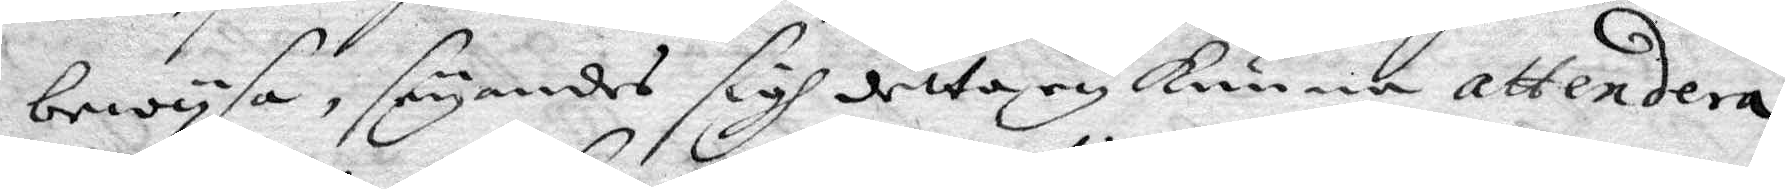bewysa, seyandes sigh detta ey kunna attendera
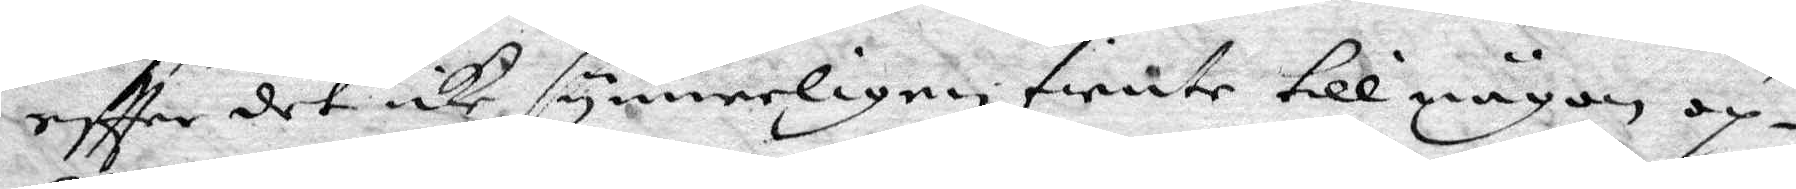eftter det icke synnerligen tiente till någon op¬
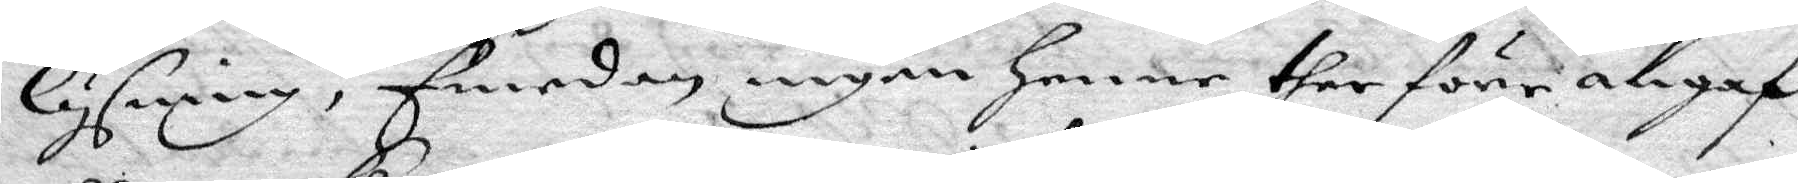lysning, Emedan ingen Henne ther före angaf
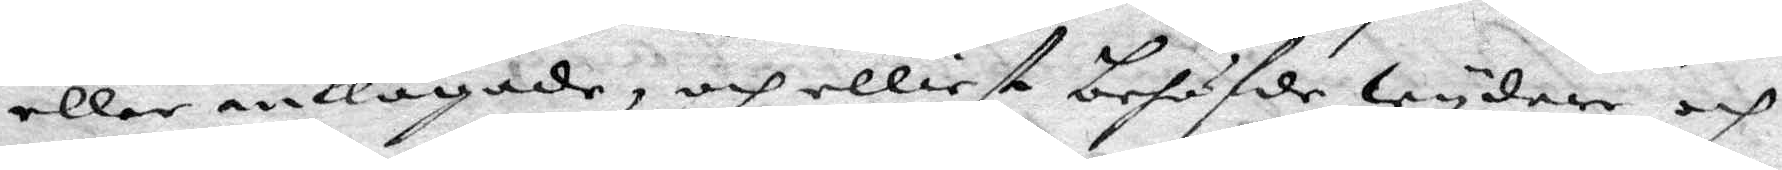eller anklagade, och elliest behöfde Wydere och
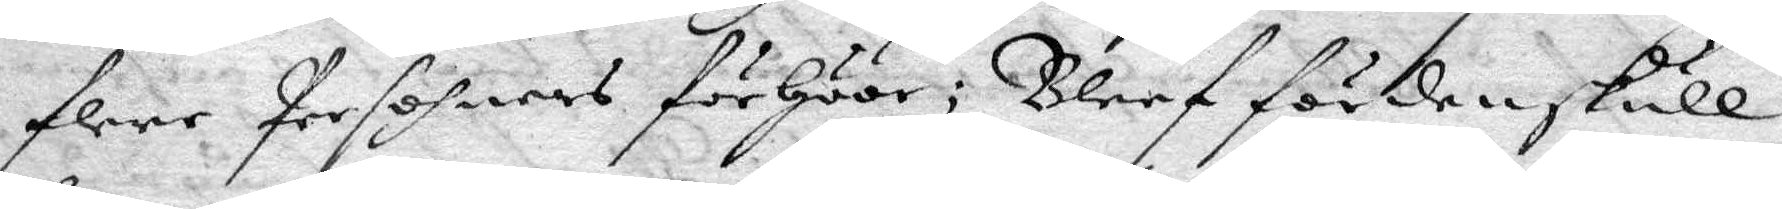flere Persohners förHöör; Bleef fördenskull
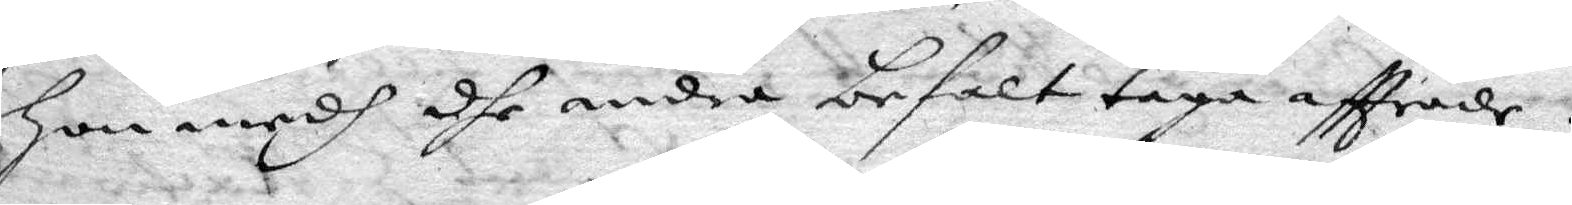Hon medh dhe andra befalt taga aftträde.
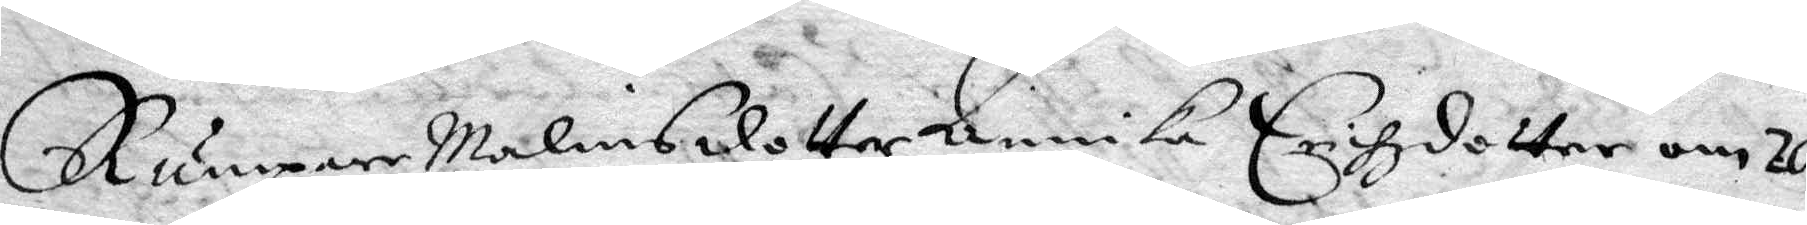Rumpare Malins dotter Annika Erihzdotter om 20
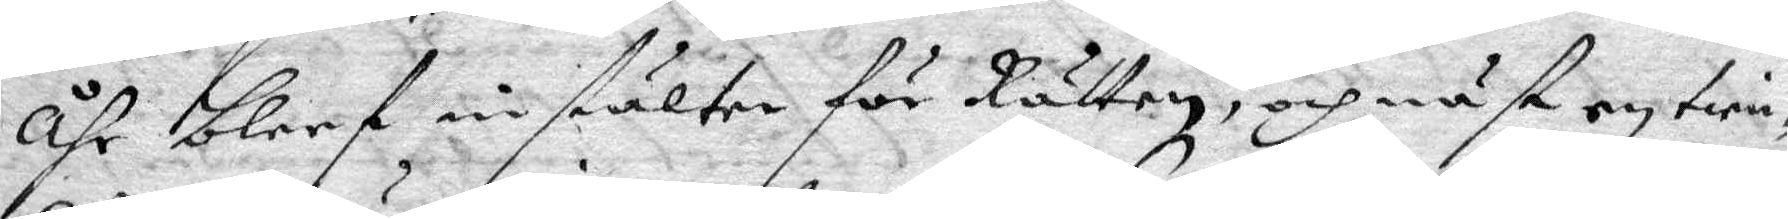åhr bleef instälter för Rätten, och näst en tien¬
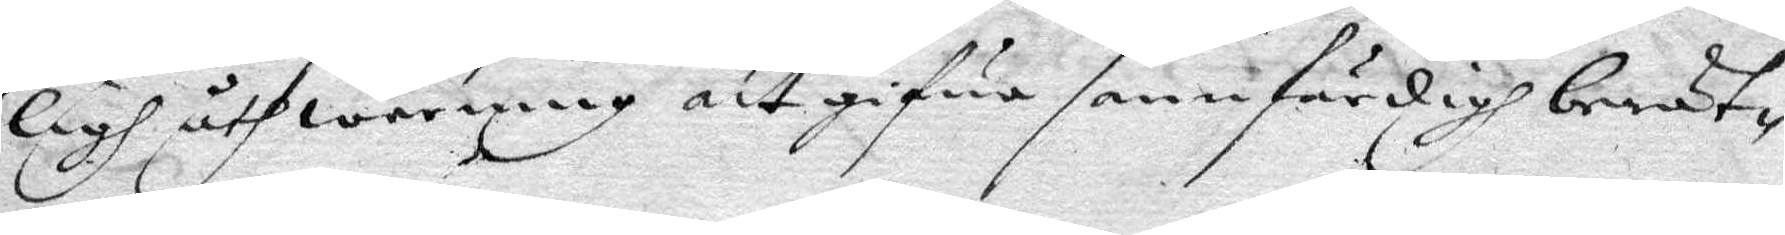ligh åthwarning att gifwa sannfärdigh berät¬
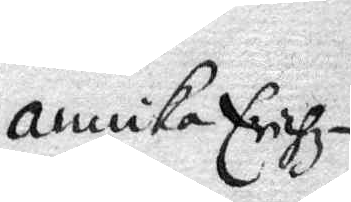Annika Erihz¬
